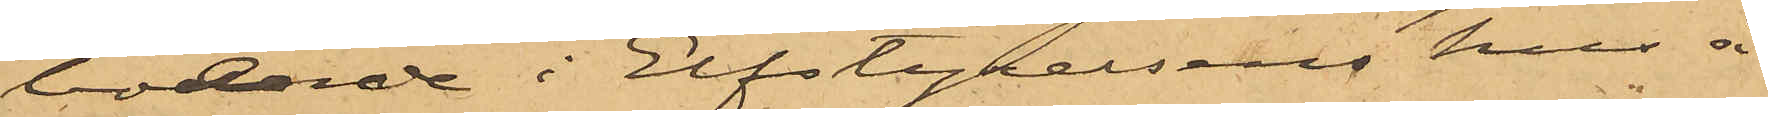boende i Elfstyrelsens hus å
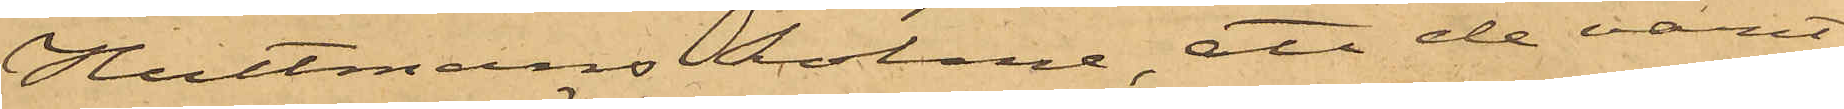Hultmans holme, att de varit
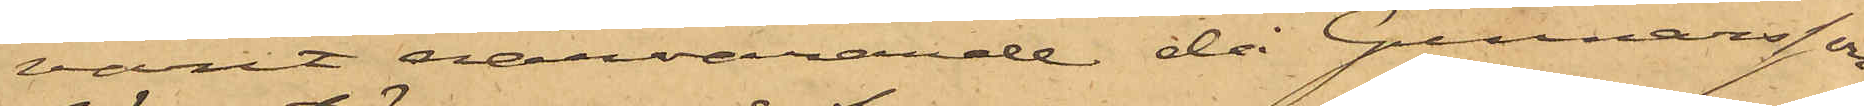varit närvarande då Gunnarsson
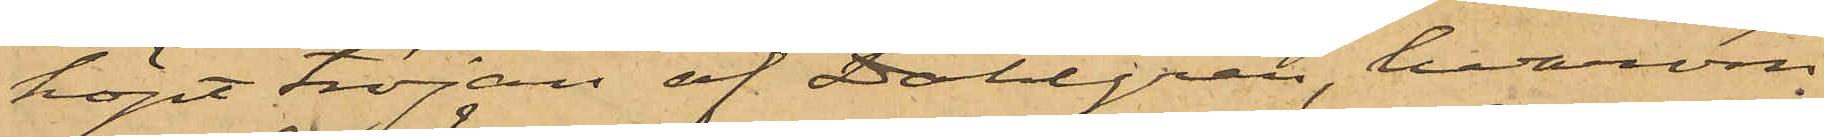köpt tröjan af Dahlgren, hvarom
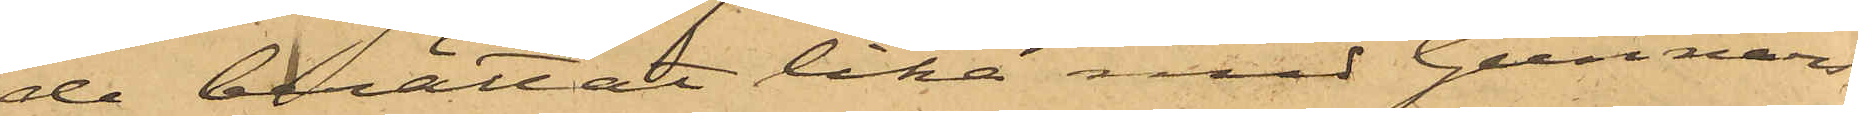de berättat lika med Gunnars¬
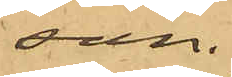son.
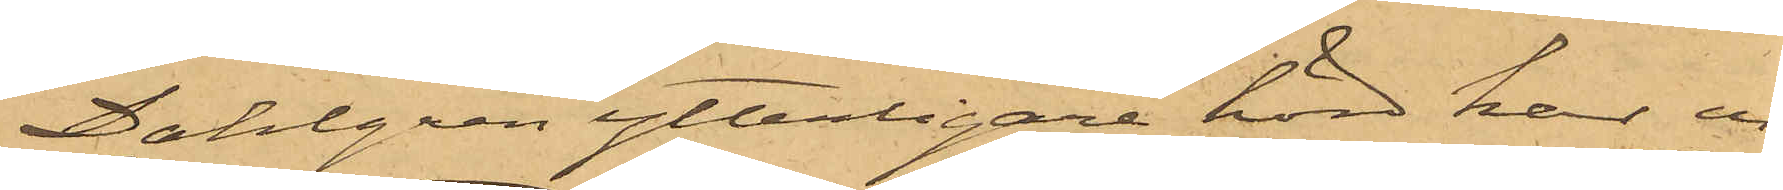Dahlgren ytterligare hörd har er¬
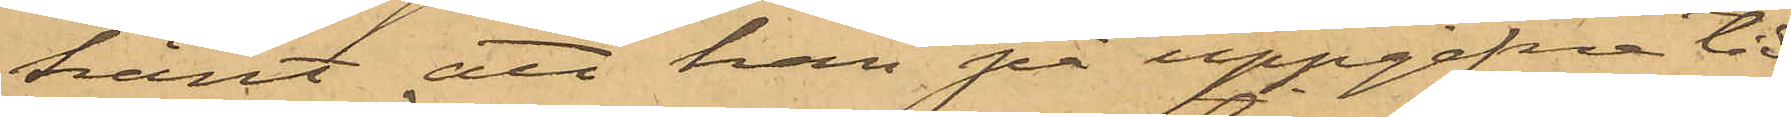känt att han på uppgifna tid
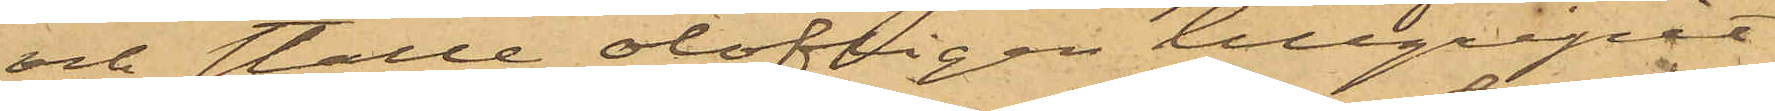och ställe olofligen tillgripit
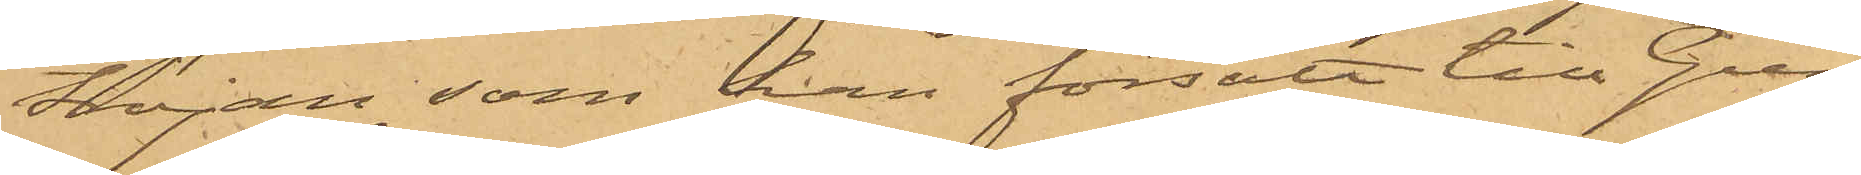tröjan, som han försålt till Gun¬
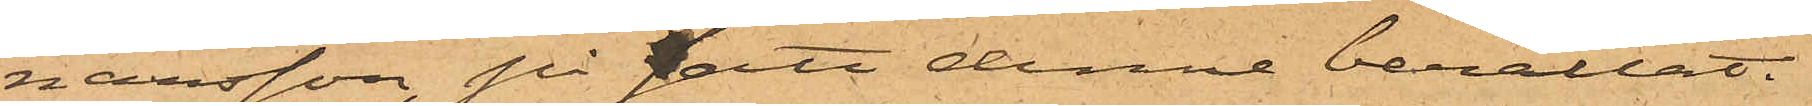narsson, på sätt denne berättat:
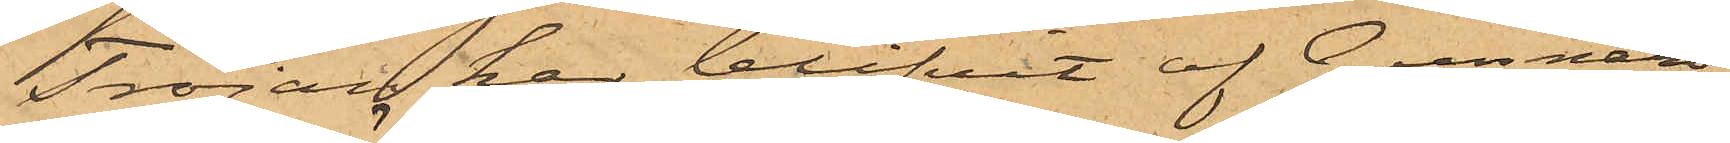Tröjan har blifvit af Gunnars¬
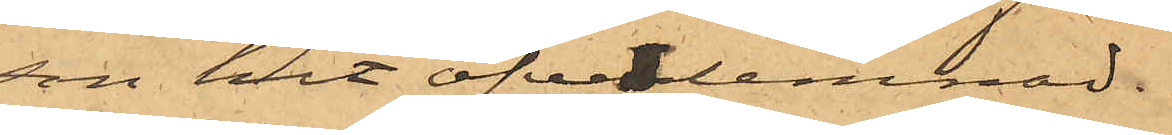son hit öfverlemnad.
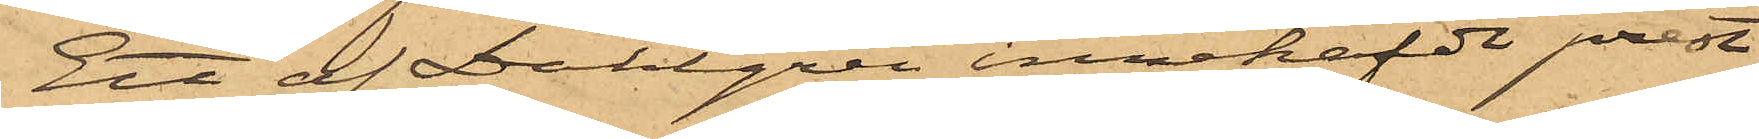Ett af Dahlgren innehafde prest¬
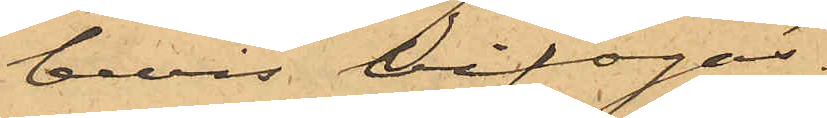bevis bifogas.
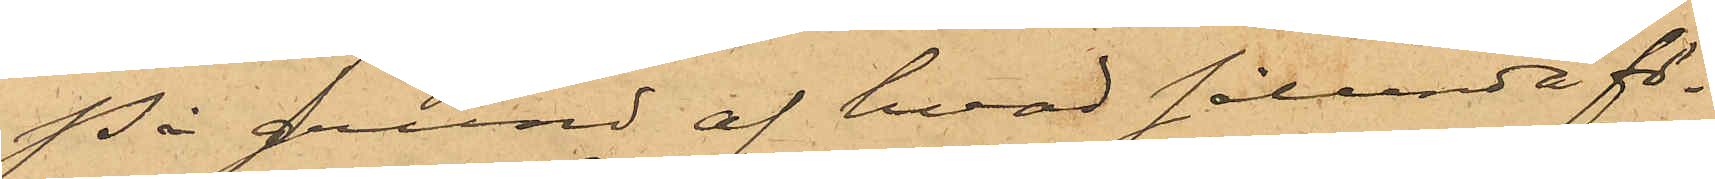På grund af hvad sålunda fö¬
